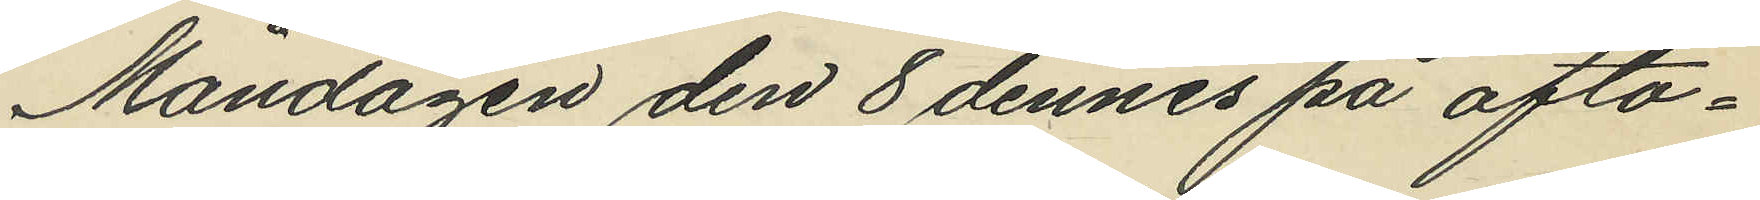Måndagen den 8 dennes på afto¬
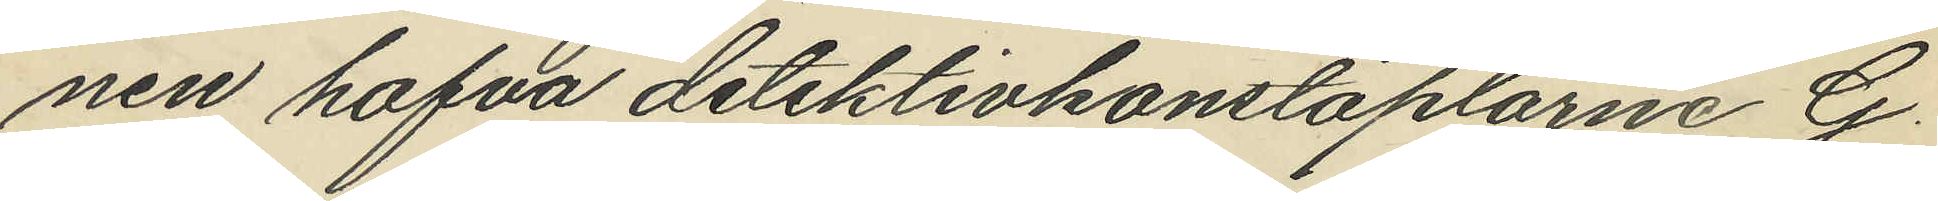nen hafva detektivkonstaplarne G.
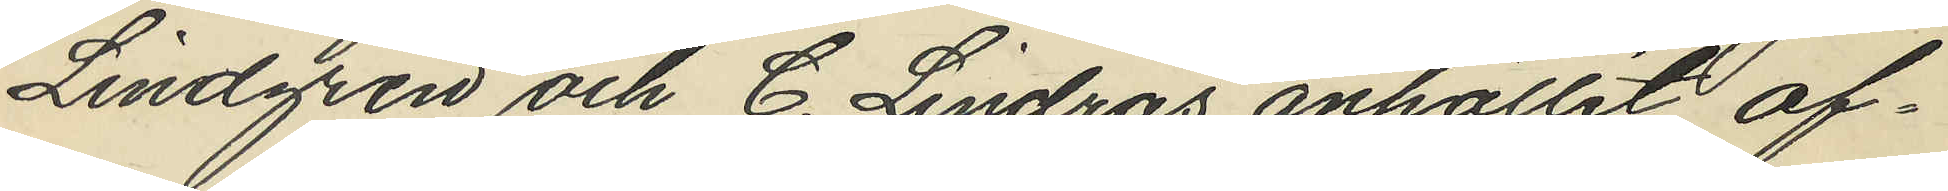Lindgren och C. Lindros anhållit of¬
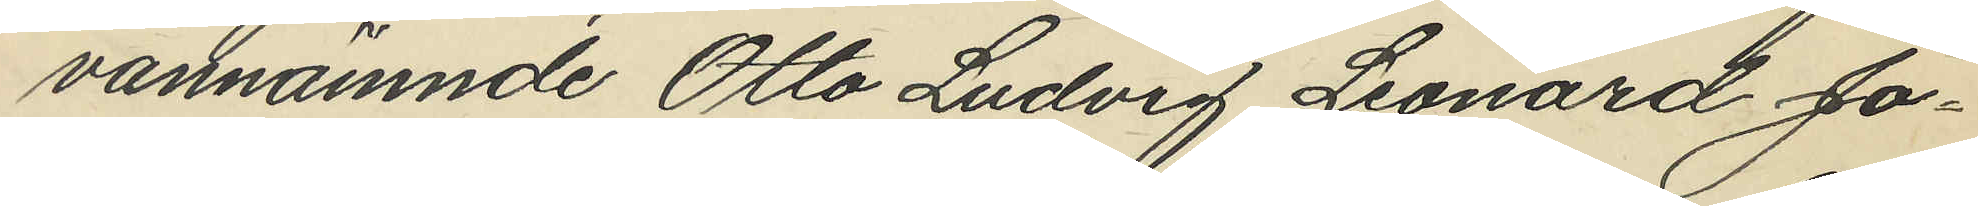vannämnde Otto Ludvig Leonard Jo¬
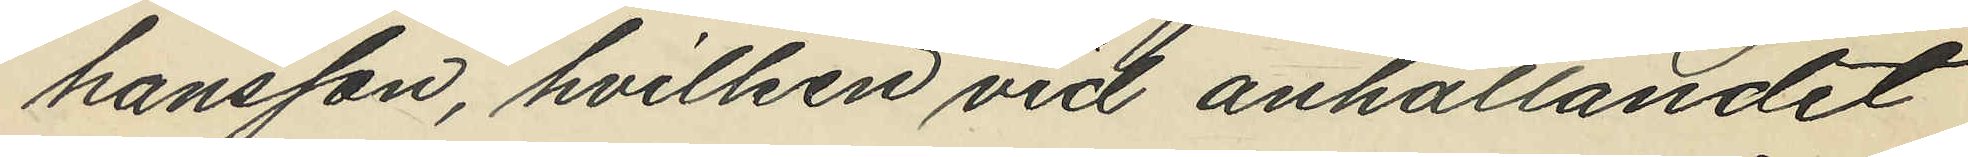hansson, hvilken vid anhållandet
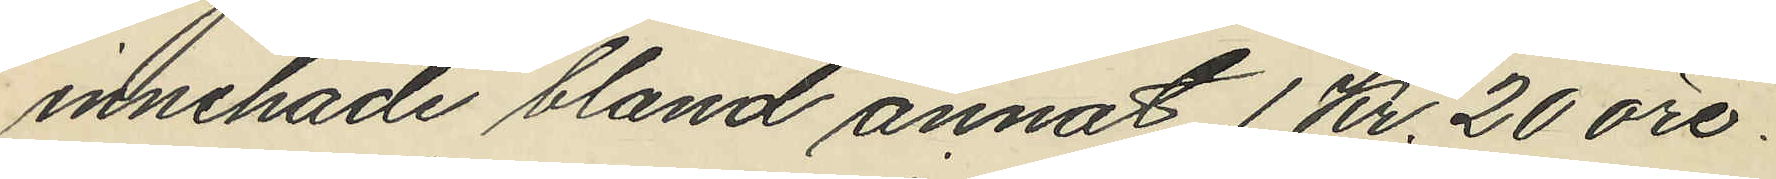innehade bland annat 1 Kr. 20 öre.
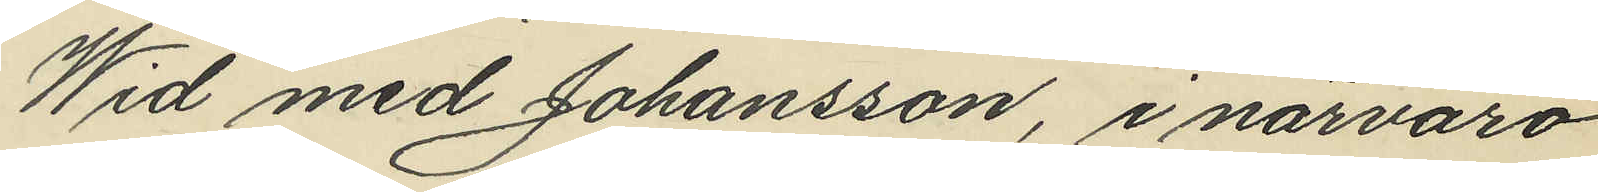Wid med Johansson, i närvaro
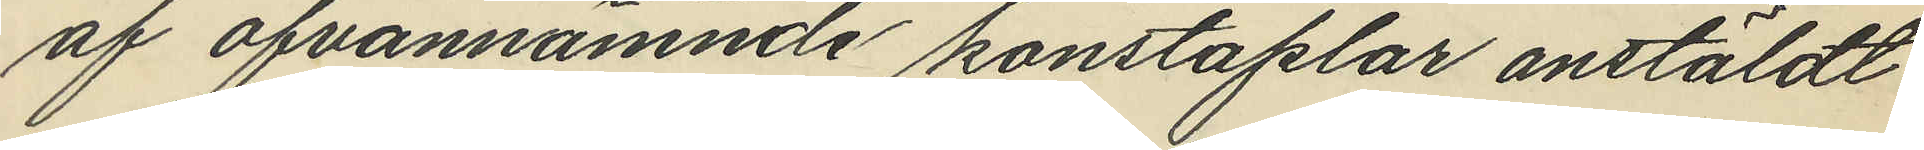af ofvannämnde konstaplar anstäldt
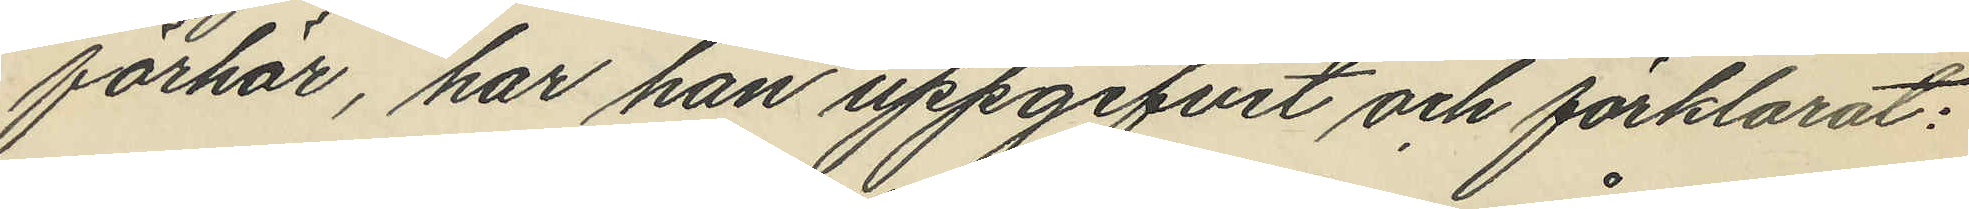förhör, har han uppgifvit och förklarat:
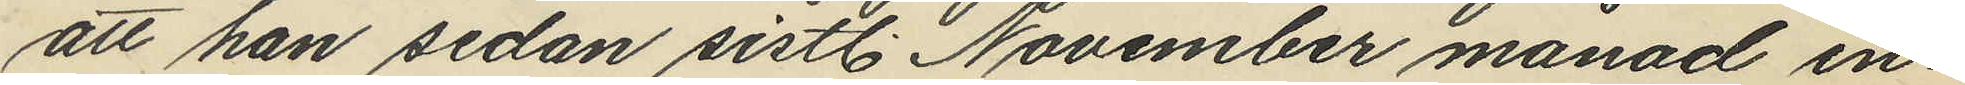att han sedan sistl. November månad in¬
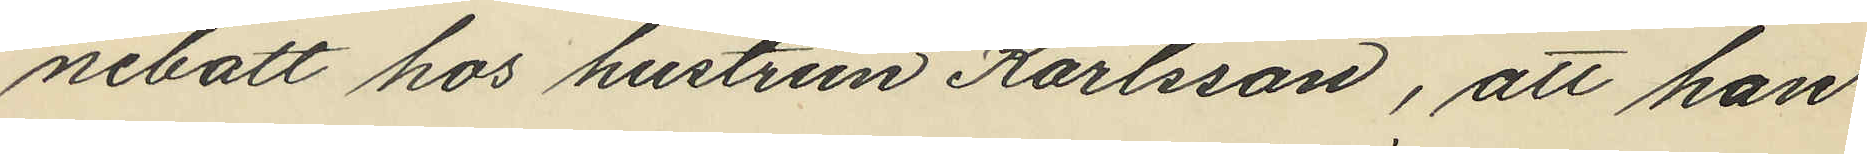nebott hos hustrun Karlsson, att han
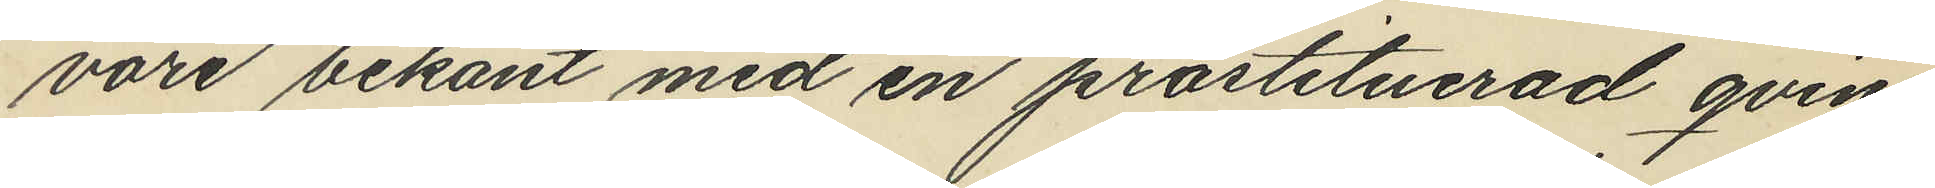vore bekant med en prostituerad qvin¬
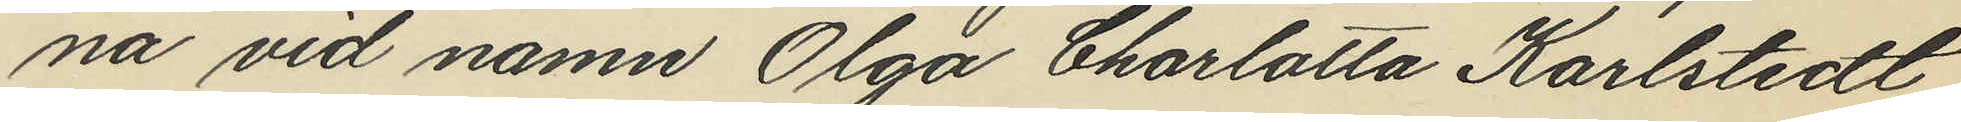na vid namn Olga Charlotta Karlstedt,
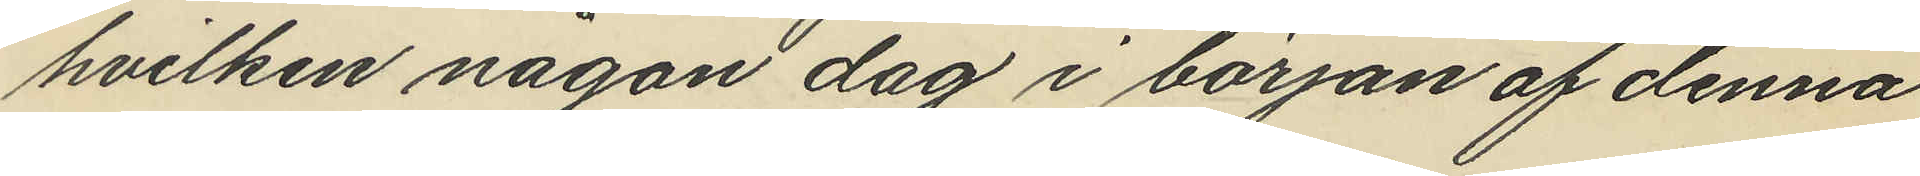hvilken någon dag i början af denna
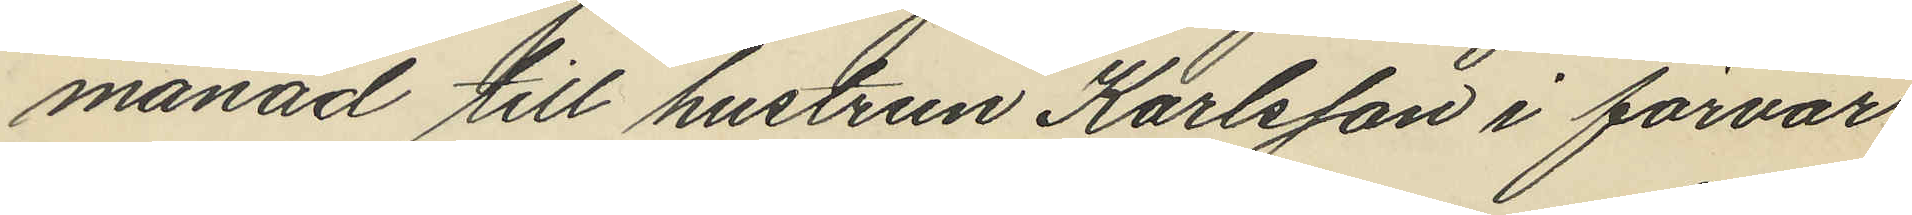månad till hustrun Karlsson i förvar
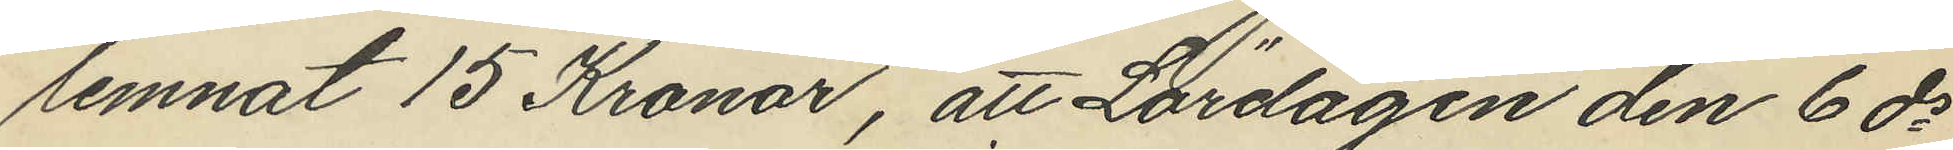lemnat 15 Kronor, att Lördagen den 6 ds
